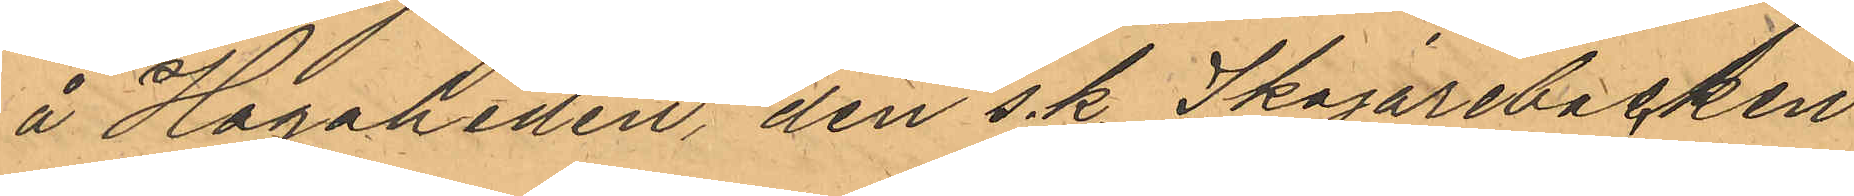å Hagaheden, den s. k. Skojarebacken
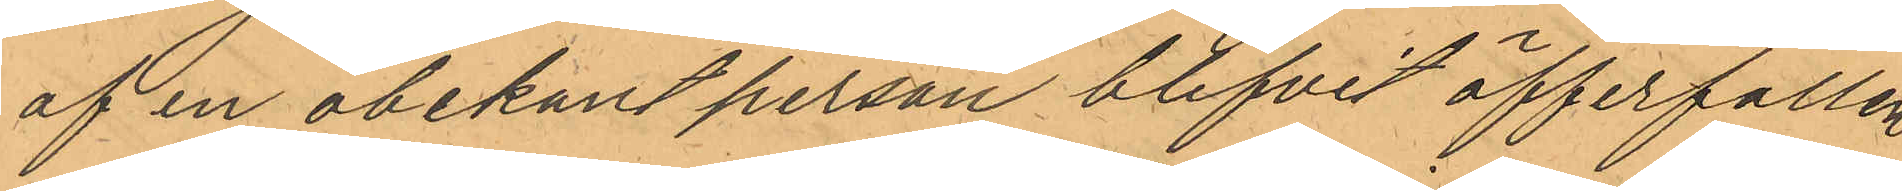af en obekant person blifvit öfferfallen
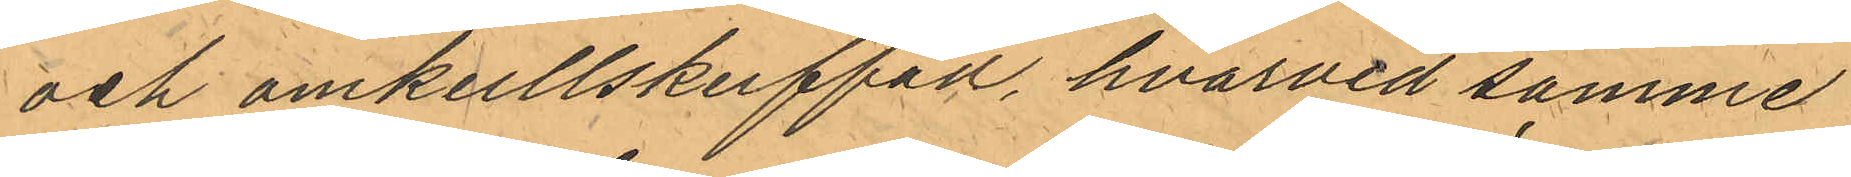och omkullskuffad, hvarvid samme
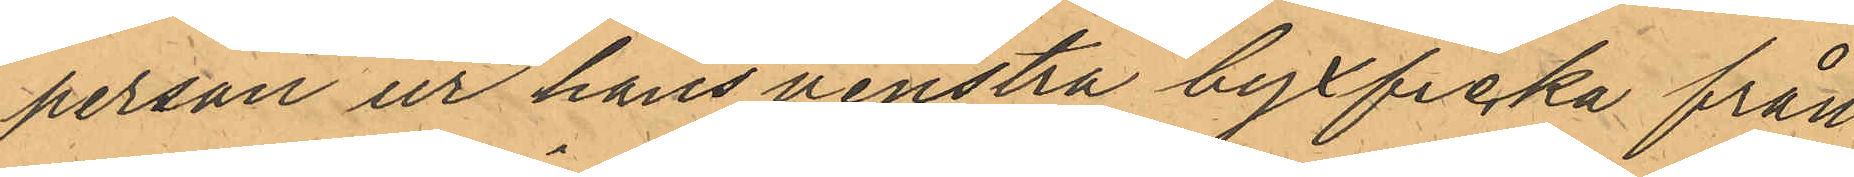person ur hans venstra byxficka från
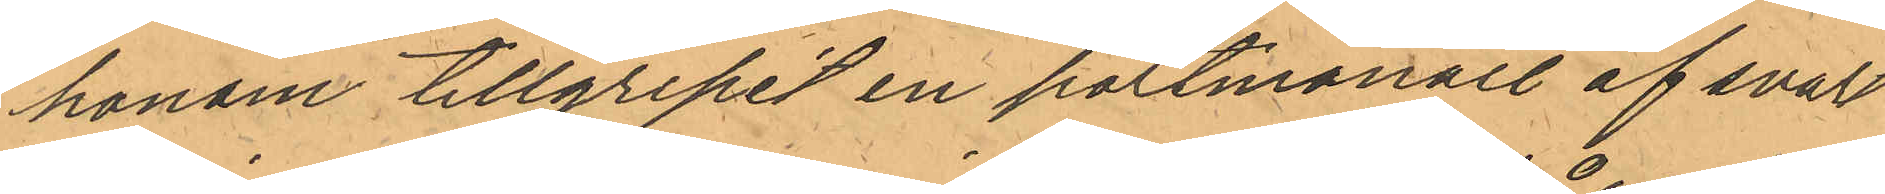honom tillgripit en portmonaie af svart
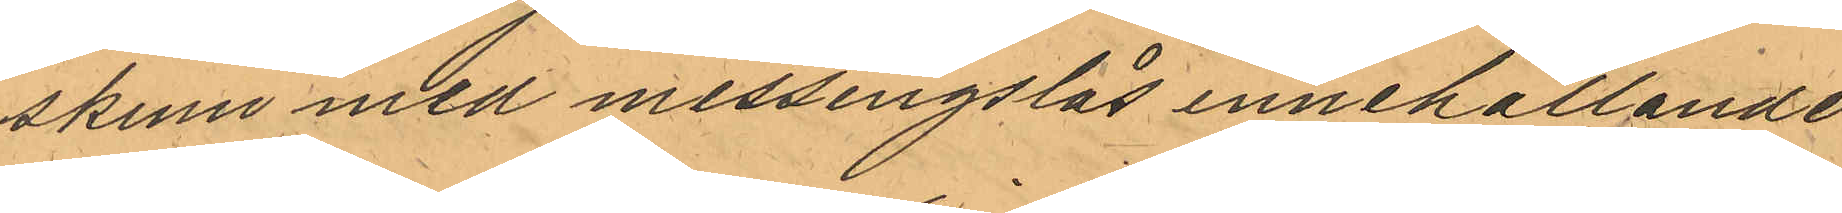skinn med messingslås innehållande
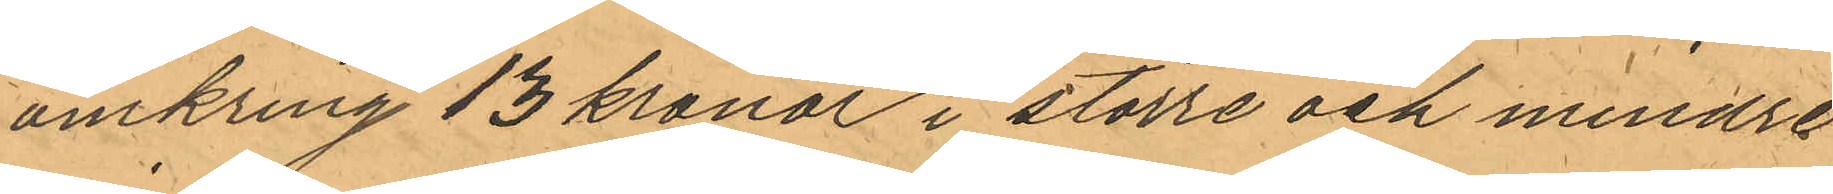omkring 13 kronor i större och mindre
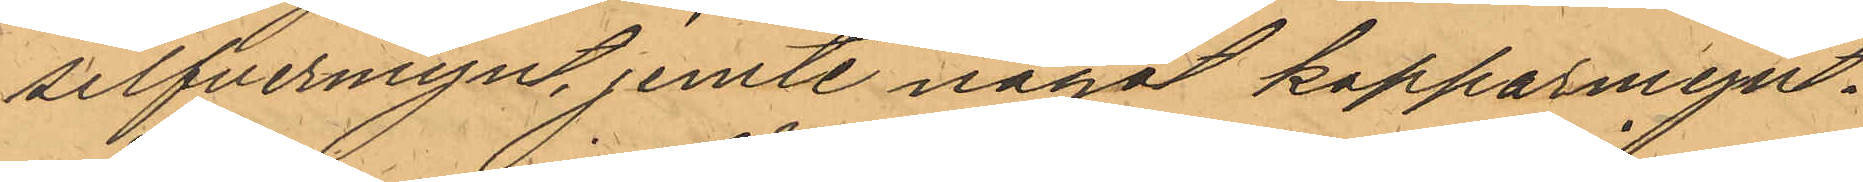silfvermynt, jemte något kopparmynt.
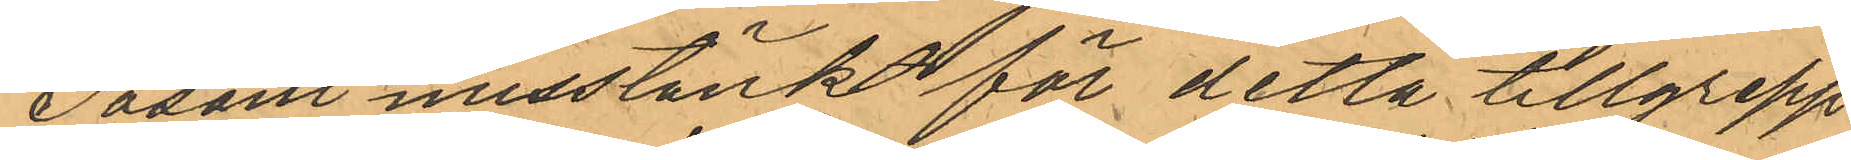Såsom misstänkt för detta tillgrepp
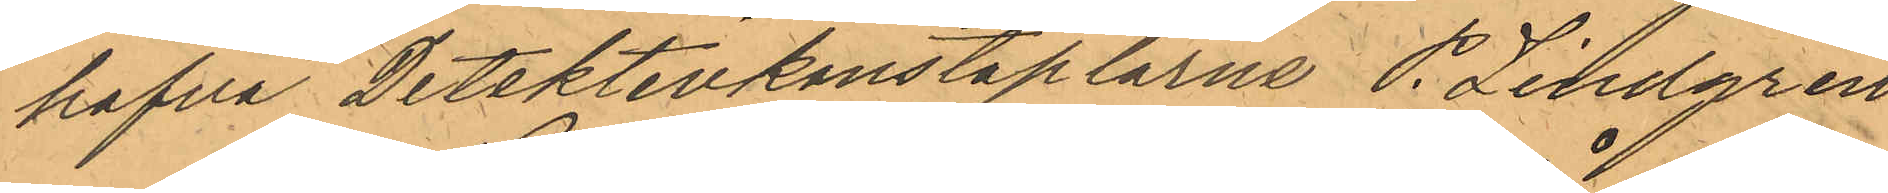hafva Detektivkonstaplarna P. Lindgren
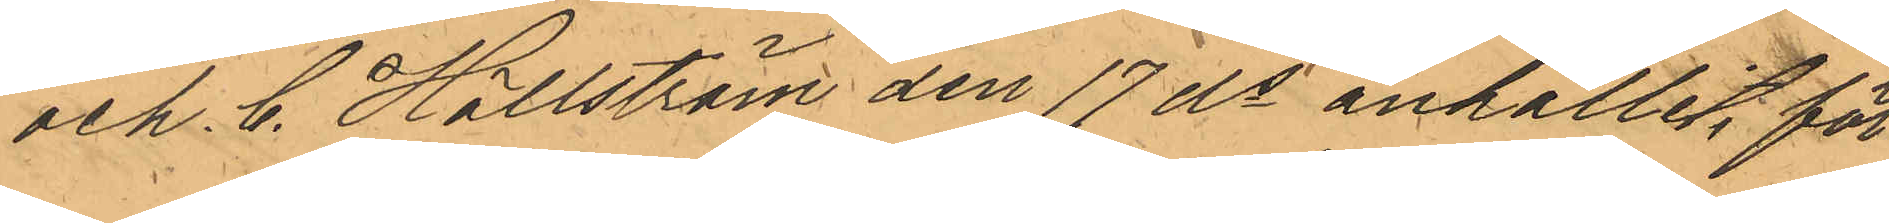och C. Hällström den 17 ds anhållit för
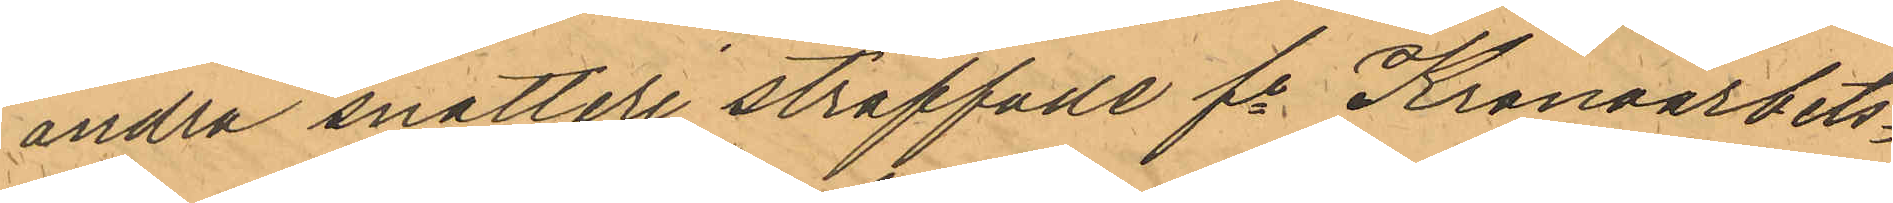andra snatteri straffade fe Kronoarbets¬
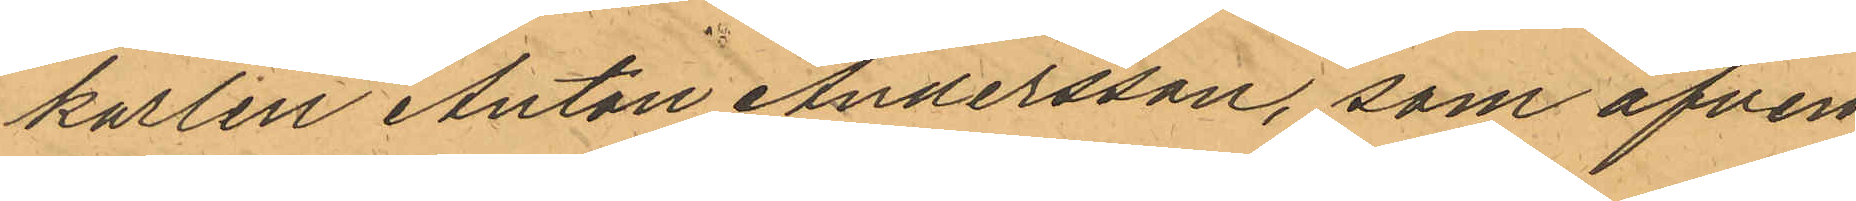karlen Anton Andersson, som äfven
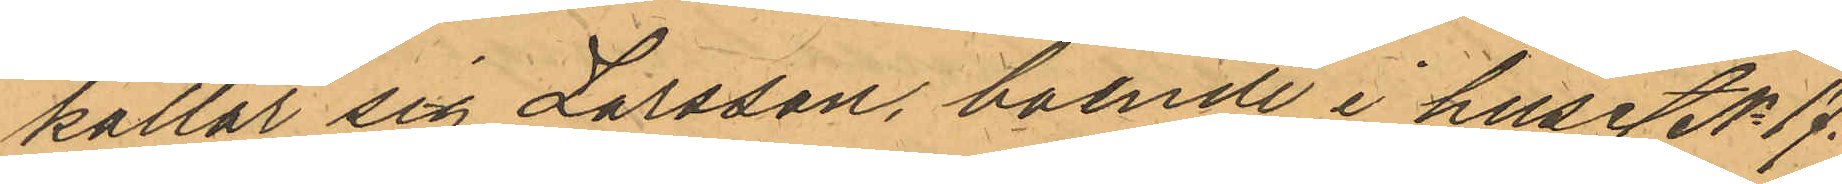kallar sig Larsson, boende i huset No 17.
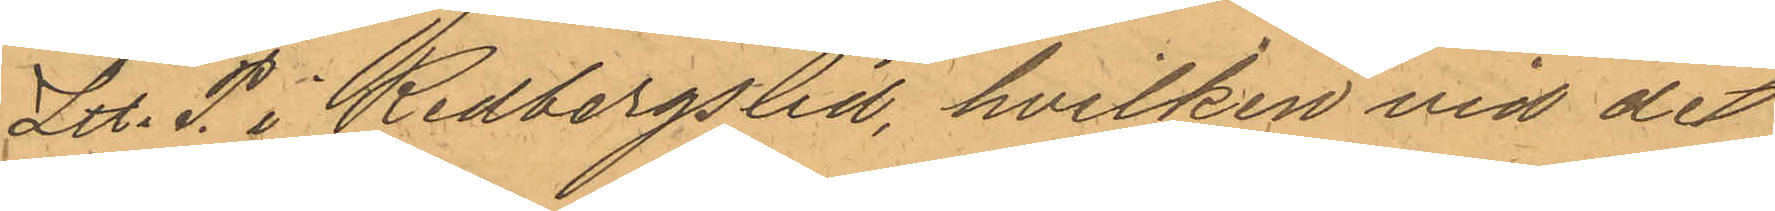Litt. P. i Redbergslid, hvilken vid det
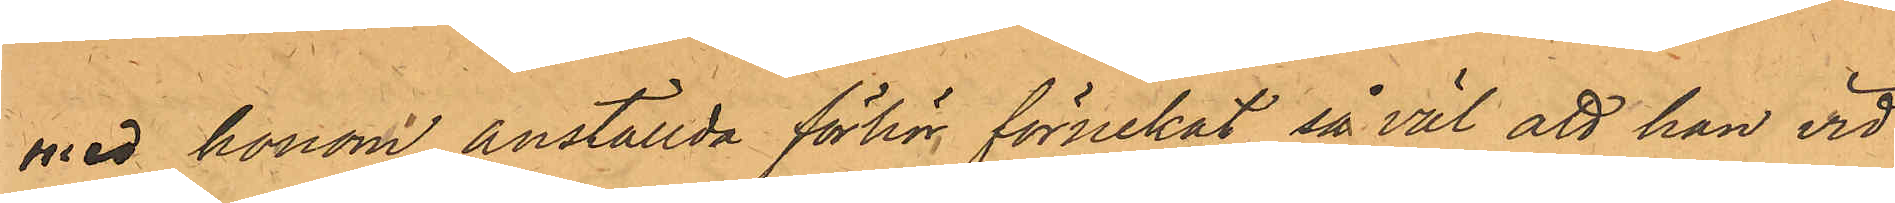med honom anställda förhör förnekat så väl att han vid
